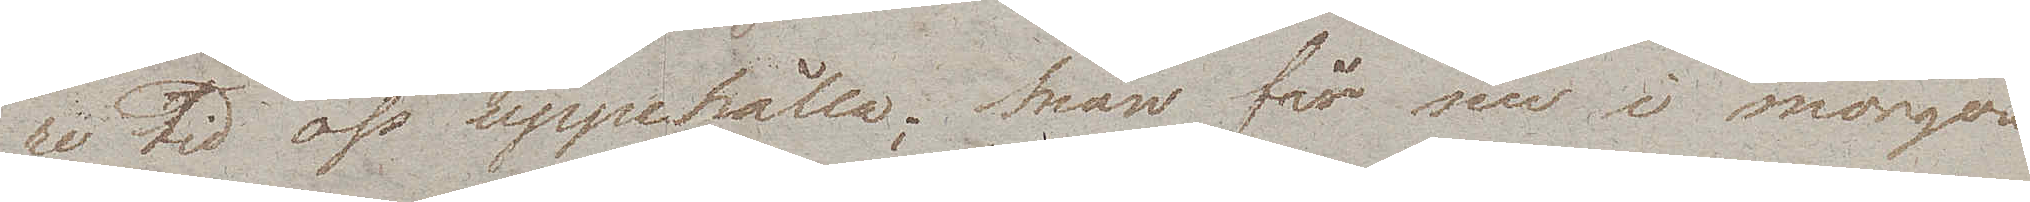re tid oss uppehålla; man får nu i morgon
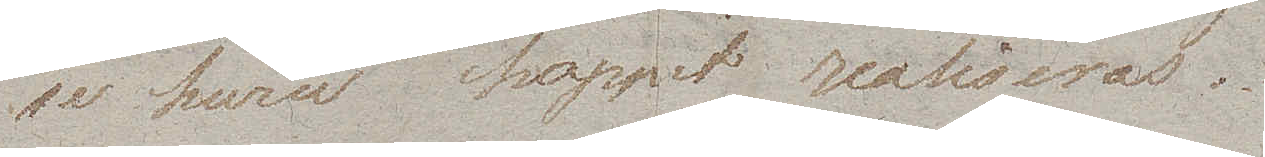se huru hoppet realiseras.
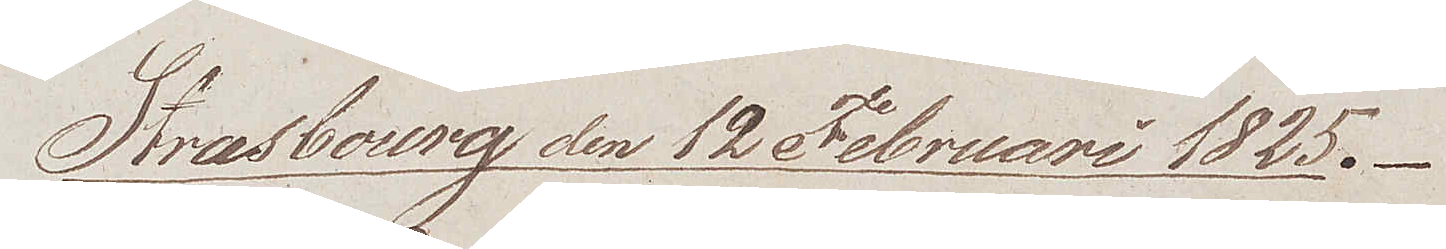Strasbourg den 12 Februari 1825. 
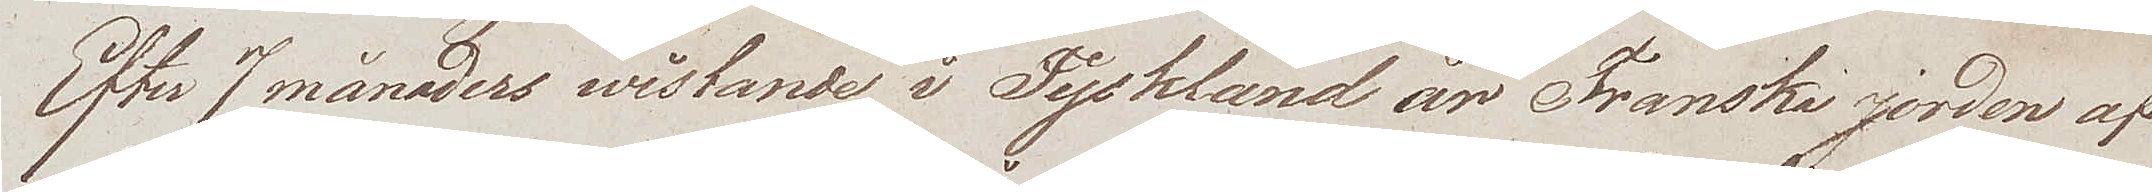Efter 7 månaders wistande i Tyskland är Franska jorden af
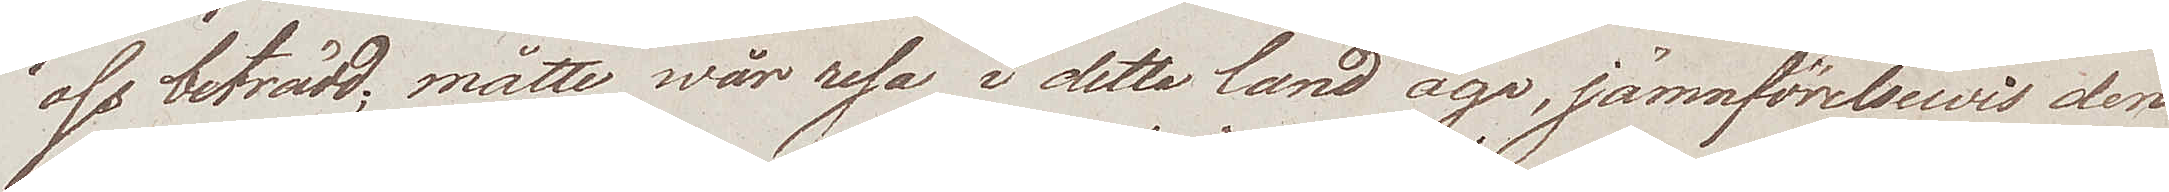oss beträdd; måtte wår resa i detta land äga, jämnförelsewis den
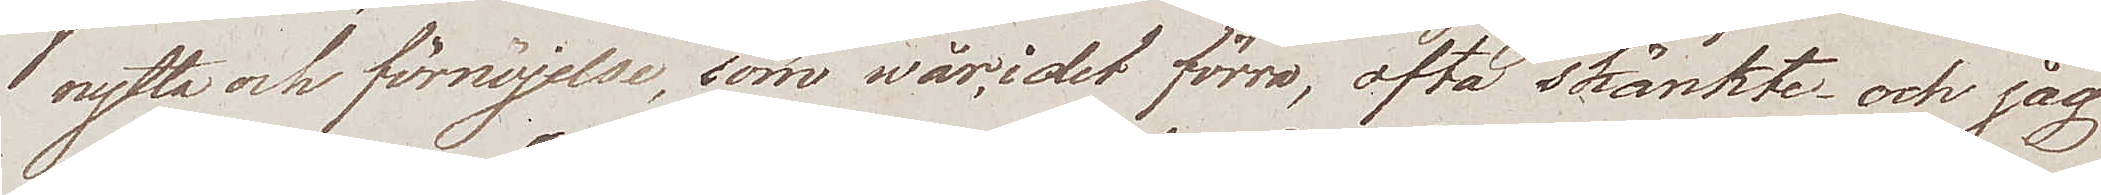nytta och förnöjelse, som wår, i det förra, ofta skänkte – och jag
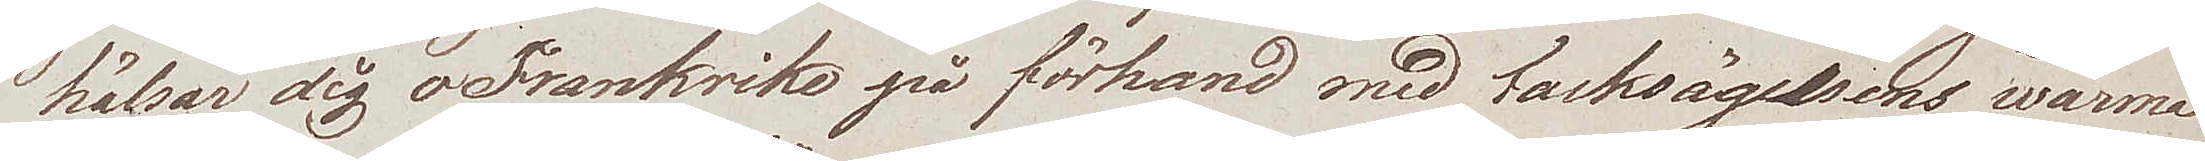hälsar dig o Frankrike på förhand med tacksägelsens warma
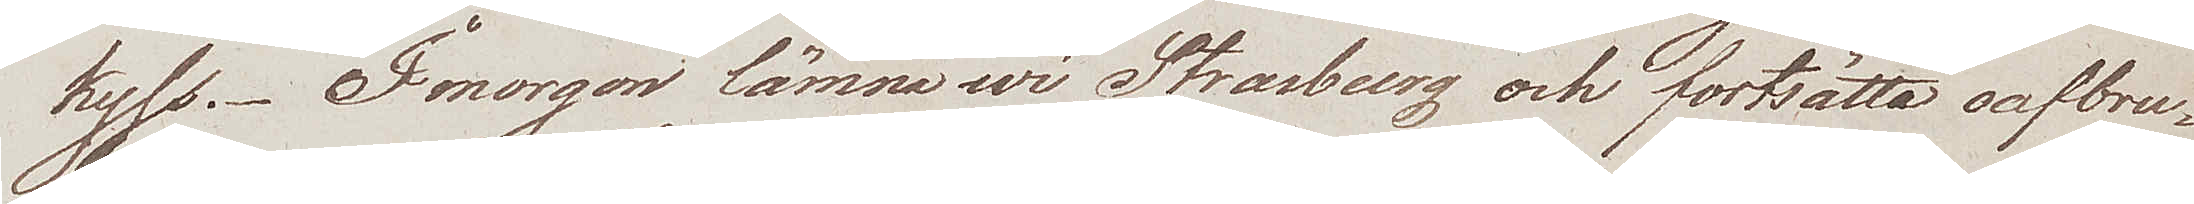kyss. I morgon lämna wi Strasbeurg och fortsätta oafbru¬
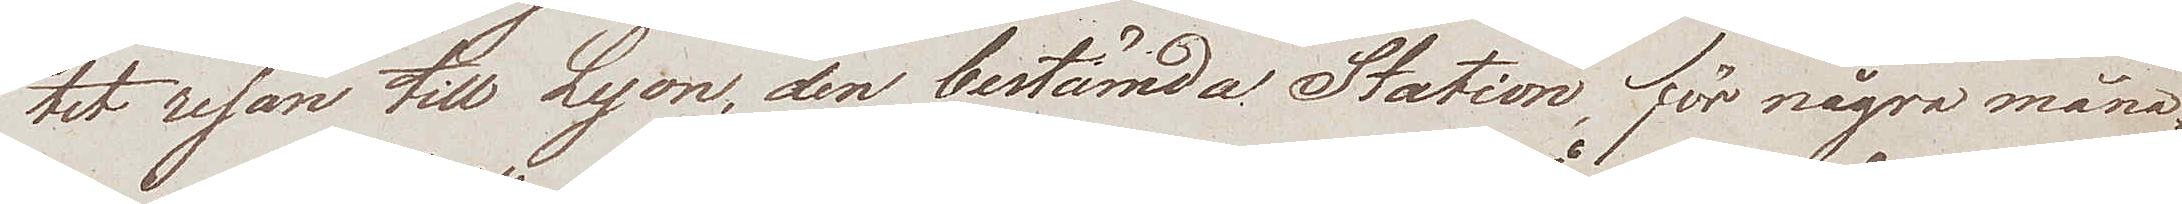tet resan till Lyon, den bestämda Station, för några måna¬
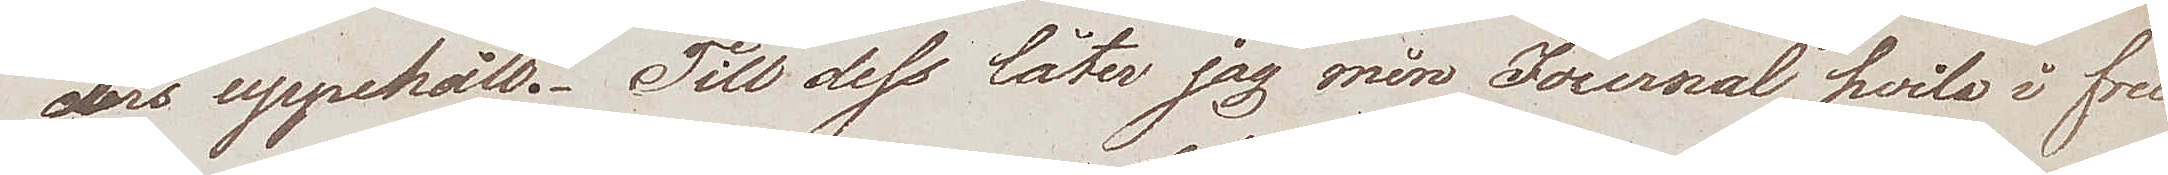ders uppehåll. Till dess låter jag min Journal hvila i fred
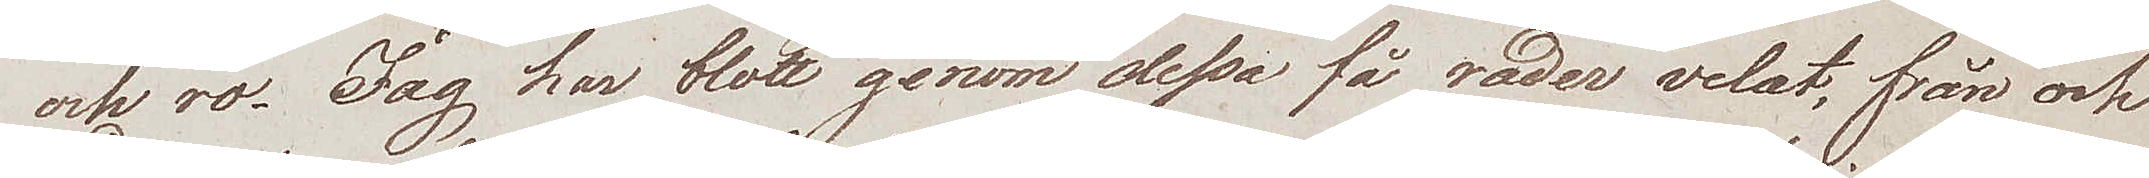och ro. Jag har blott genom dessa få rader velat, från och
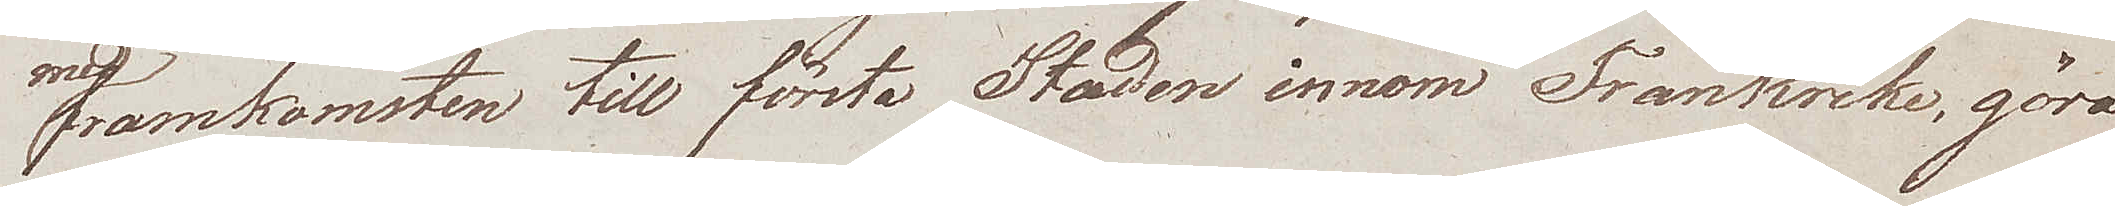med framkomsten till första Staden innom Frankrike, göra
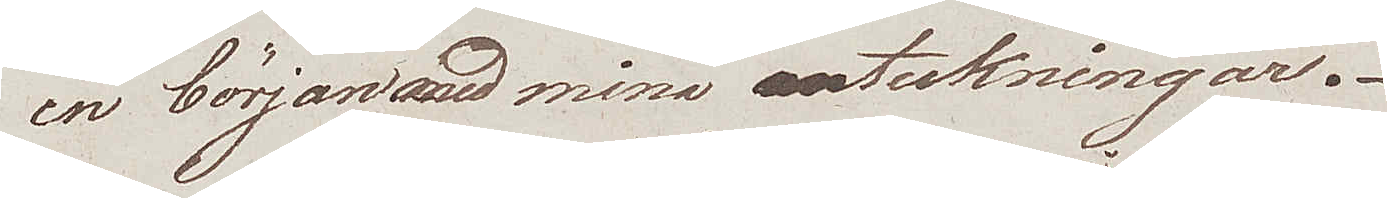en början med mina anteckningar.
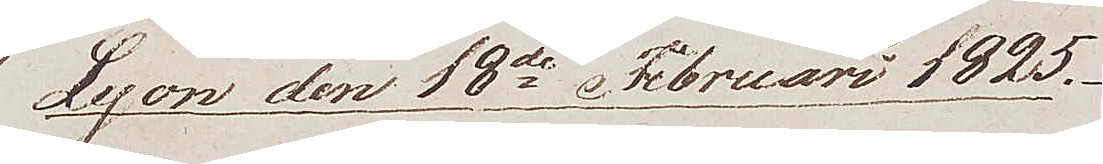Lyon den 18de Februari 1825.
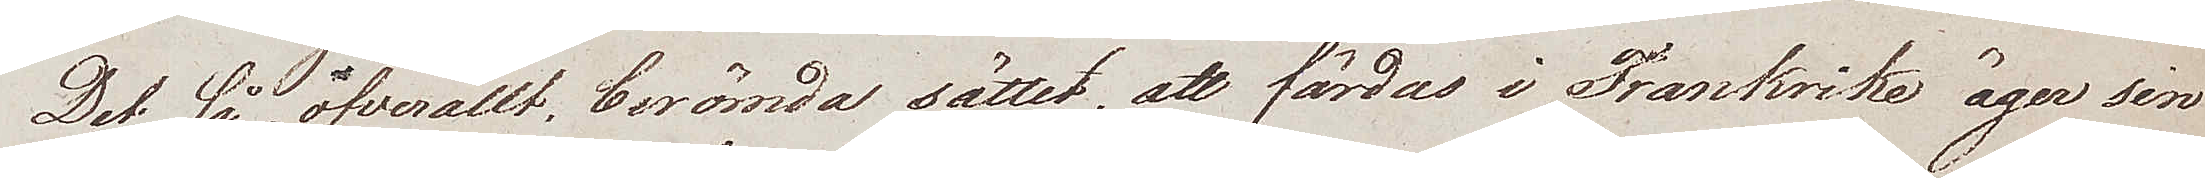Det så öfverallt, berömda sättet, att färdas i Frankrike äger sin
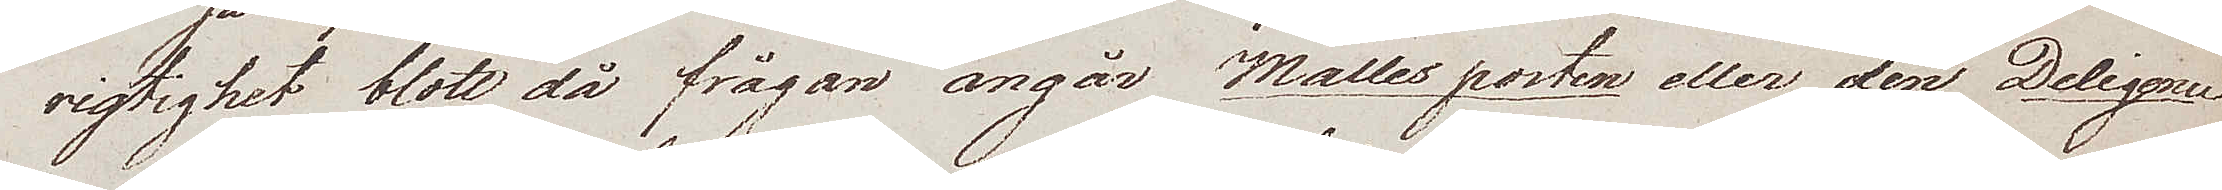rigtighet blott då frågan angår Malles posten eller den Deligence
